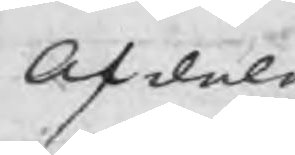Afdala
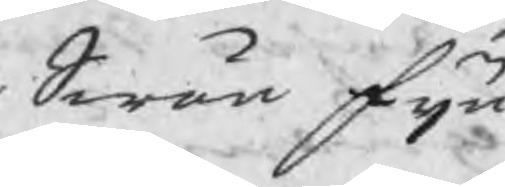Swän Fijn
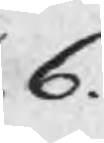6.
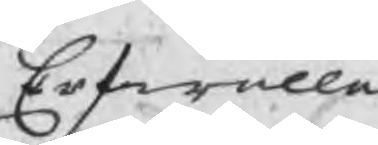Erfwalla
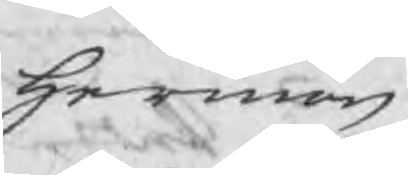Herman
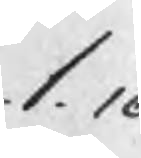1.16
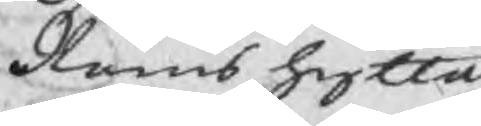Ramshytta
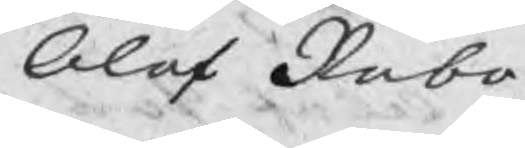Olof Rabo
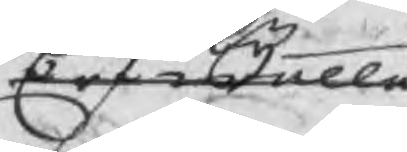Erfwalla
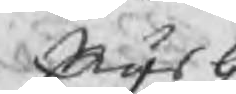Näsby
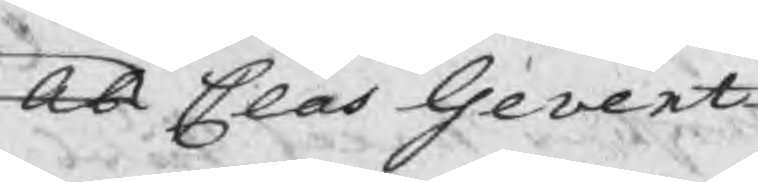Ob Clas Gevert
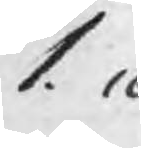1.16
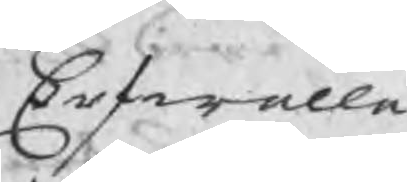Erfwalla
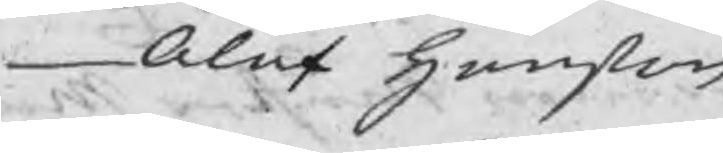Olof Hanßon
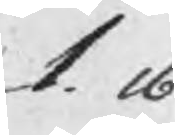1.16
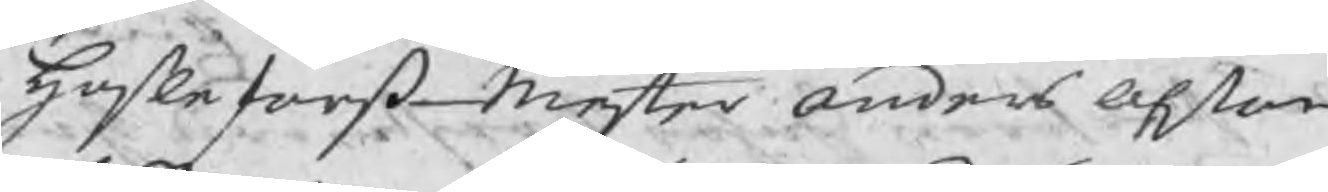Haßleforß Mester Anders Olßon
